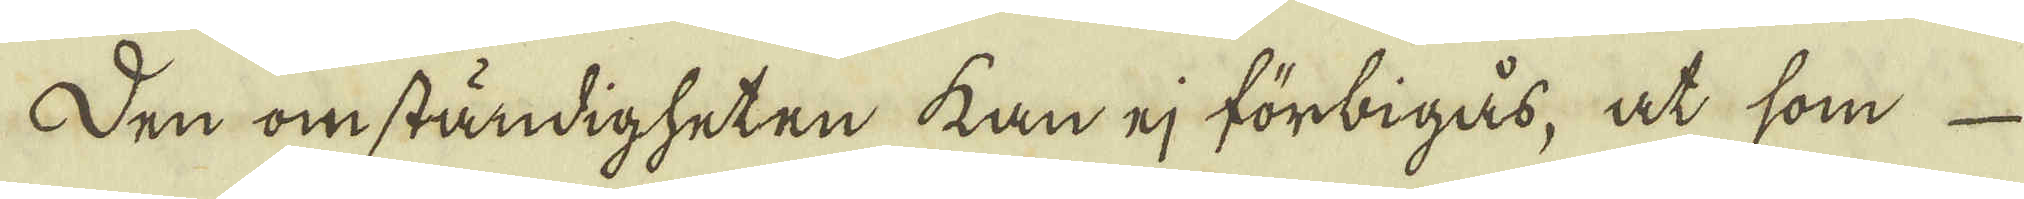Den omständigheten kan ej förbigås, at som 
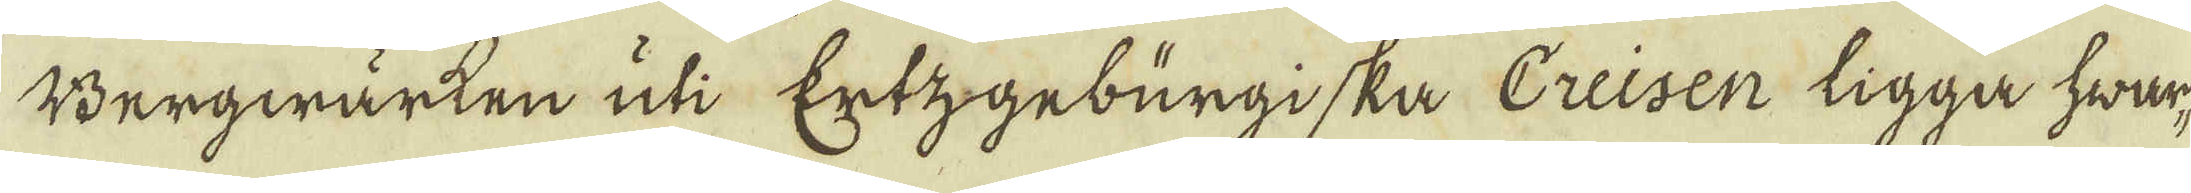Bergwärken uti Ertzgeburgiska Creisen ligga hwar-
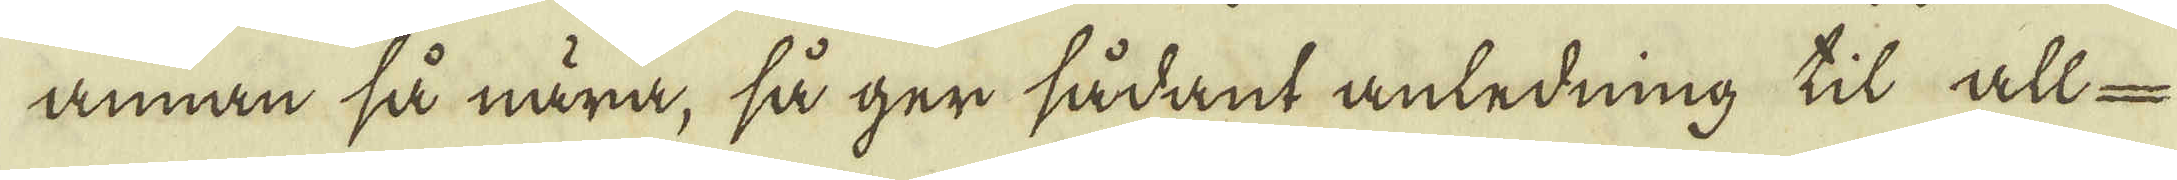annan så nära, så ger sådant anledning til all-
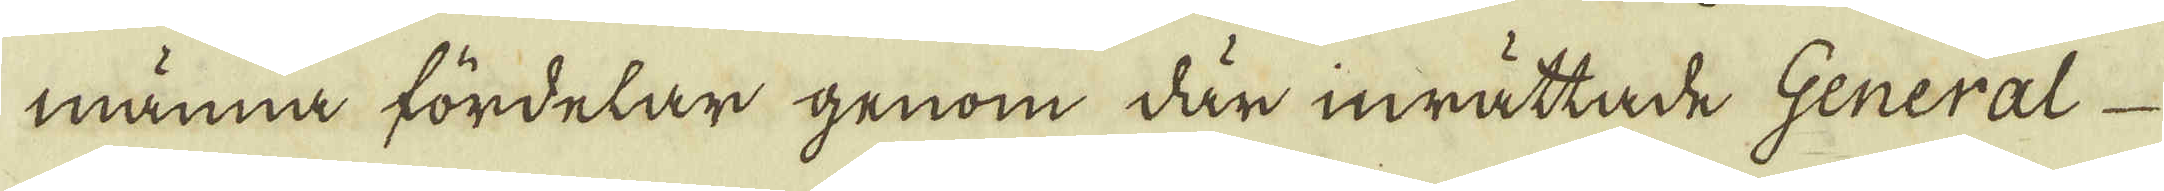männa fördelar genom där inrättade General
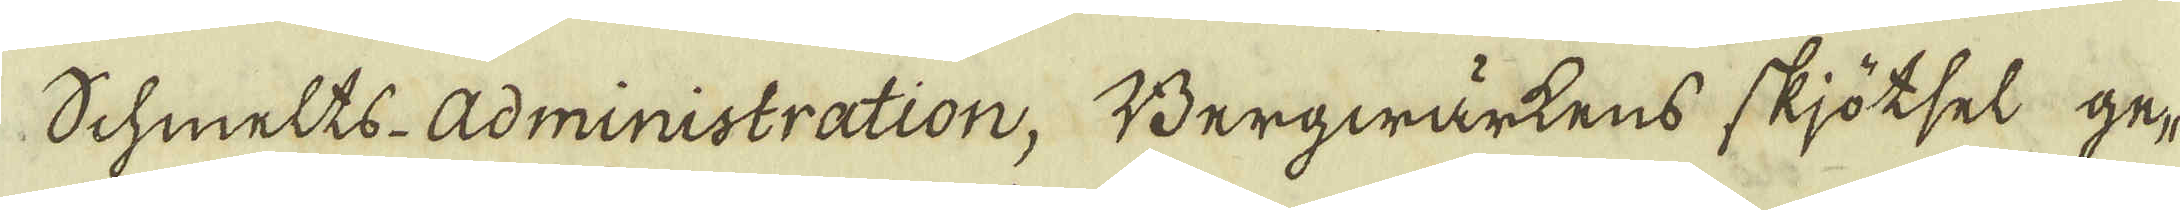Schmelts-Administration. Bergwärkens skjötsel ge-
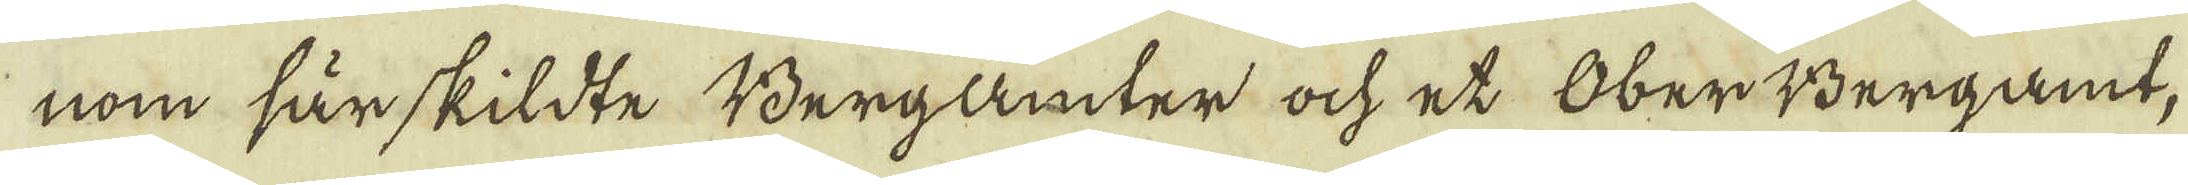nom särskildte Bergämter och et Ober Bergamt,
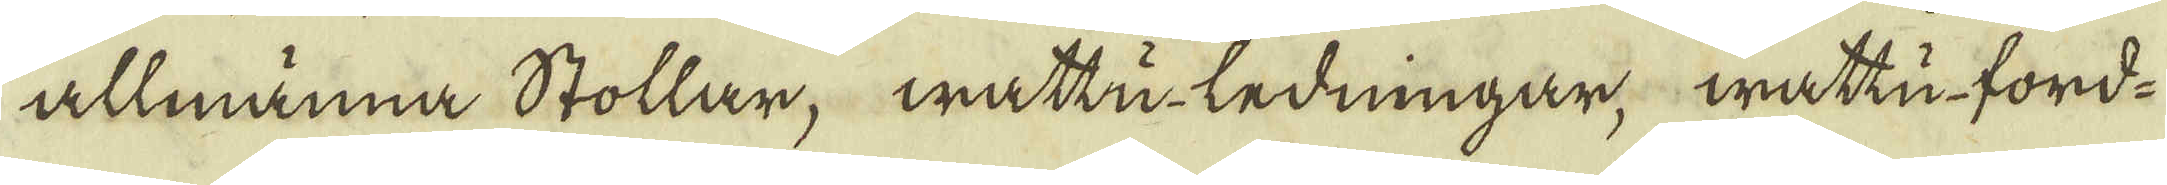allmänna Stollar, wattu-ledningar wattu-ford-
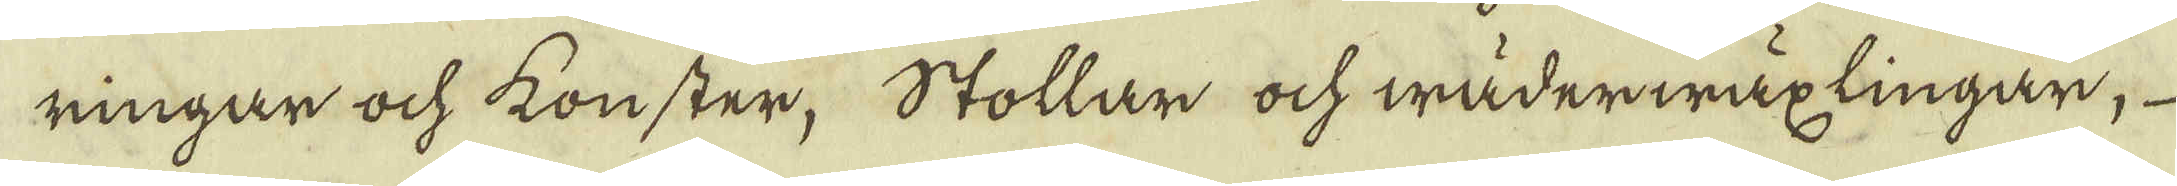ringar och konster, Stollar och wäderwäxlingar,
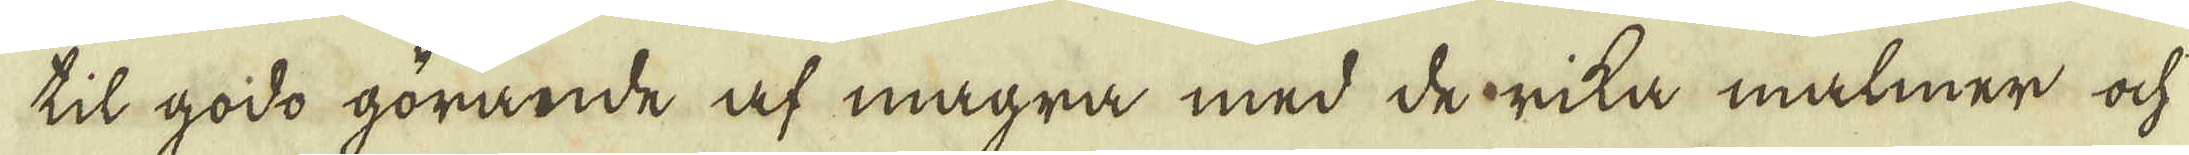til godo görande af magra med de rika malmer och
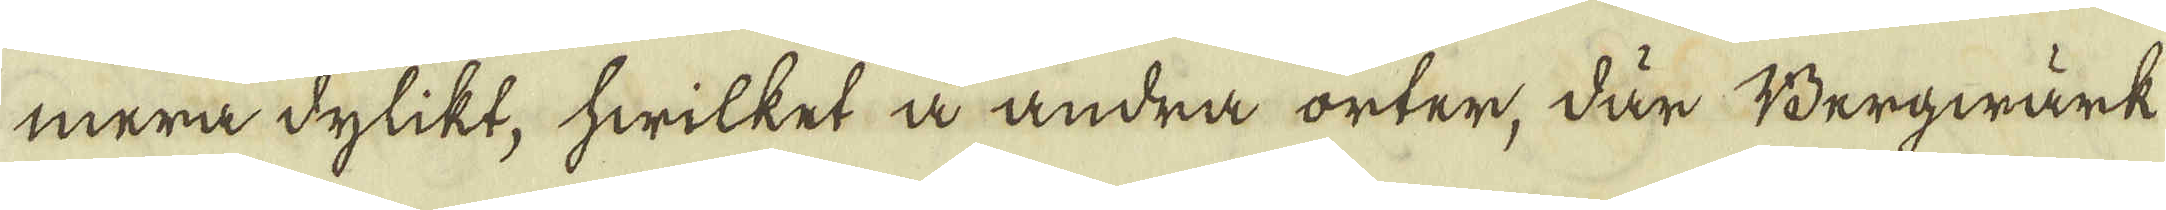mera dylikt, hwilket å andra orter, där Bergwärk
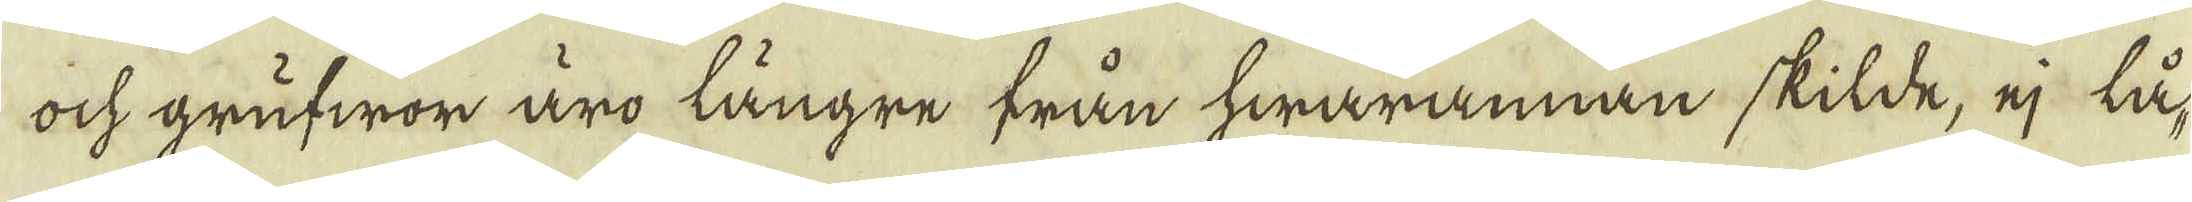ock grufwor äro längre från hwarannan skilde, ej lå-
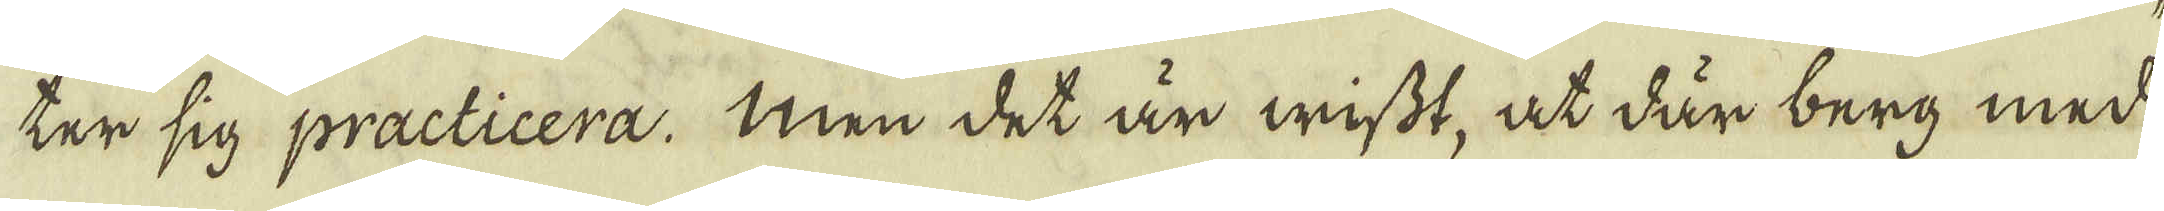ter sig practicera. Men det är wisst, at där berg med
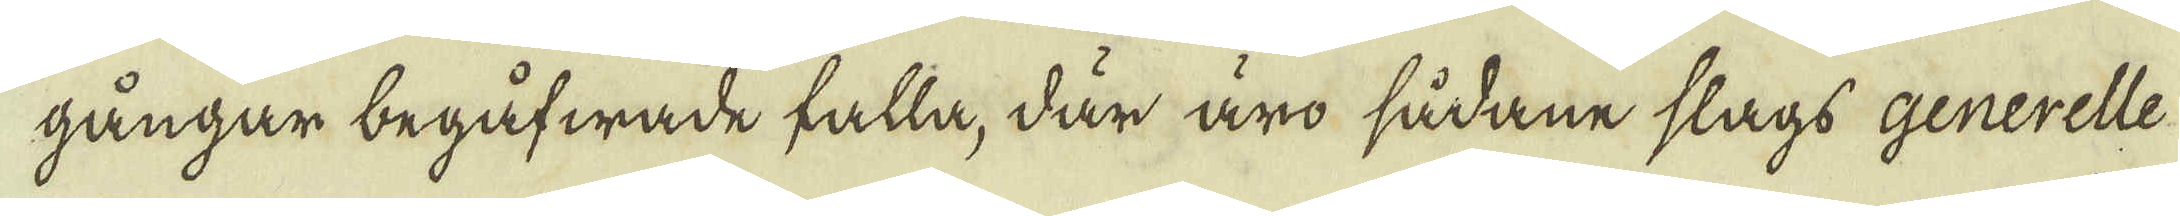gångar begåfwade falla, där äro sådane slags generelle
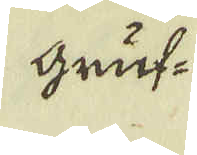gruf-
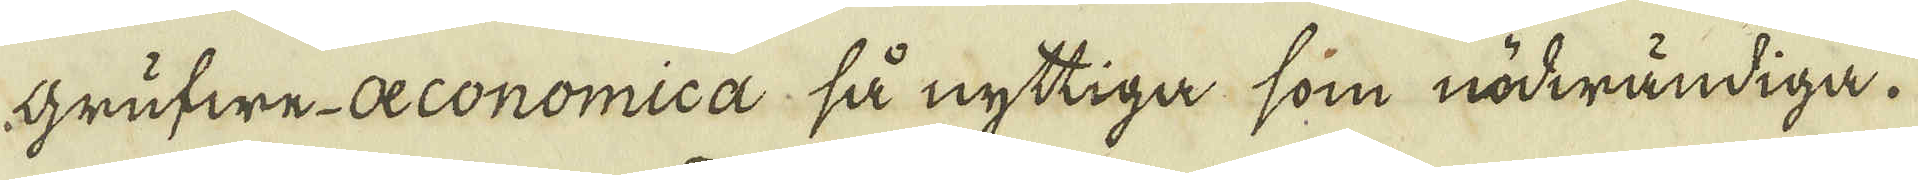grufwe-oeconomica, så nyttiga som nödwändiga.
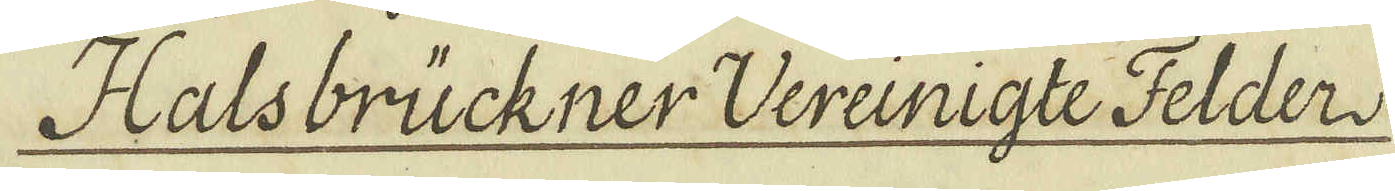Halsbrückner Wereinigte Felder
